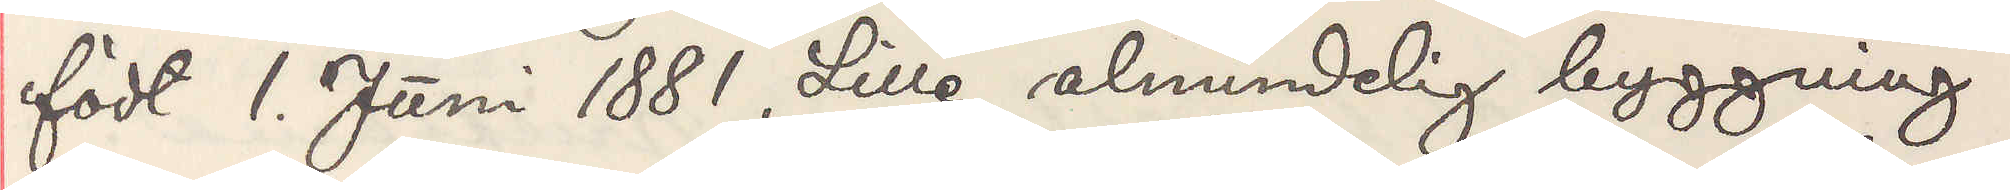födt 1. Juni 1881. Lille almindelig byggning,
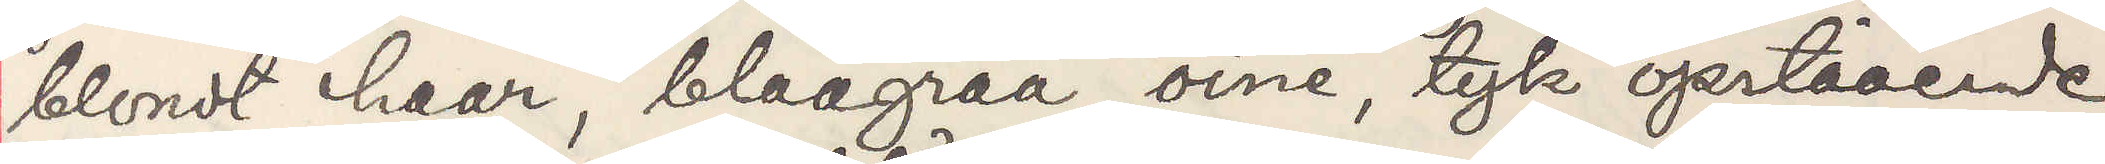blondt haar, blaagraa öine, tyk opstående
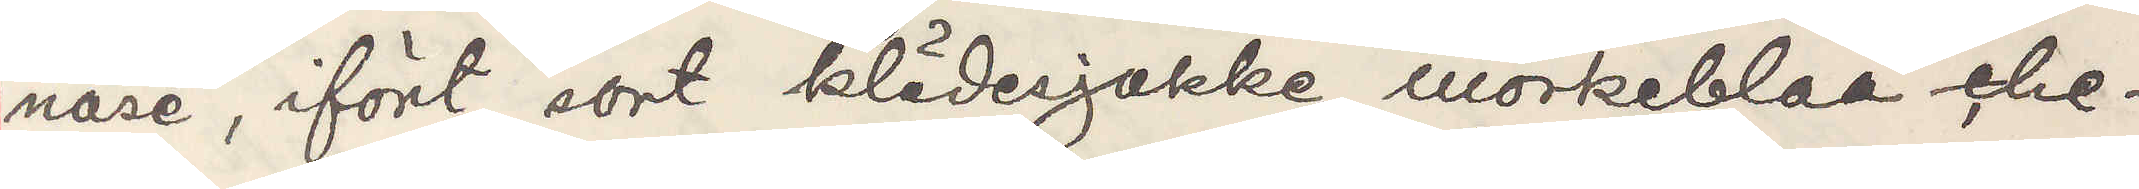näse, ifört sort klädesjakke, mörkeblaa che¬
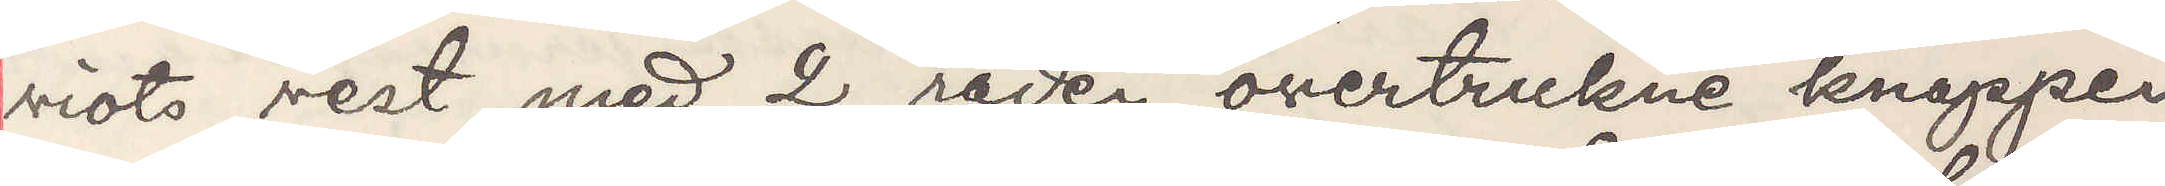viots vest med 2 rader overstrukne knapper
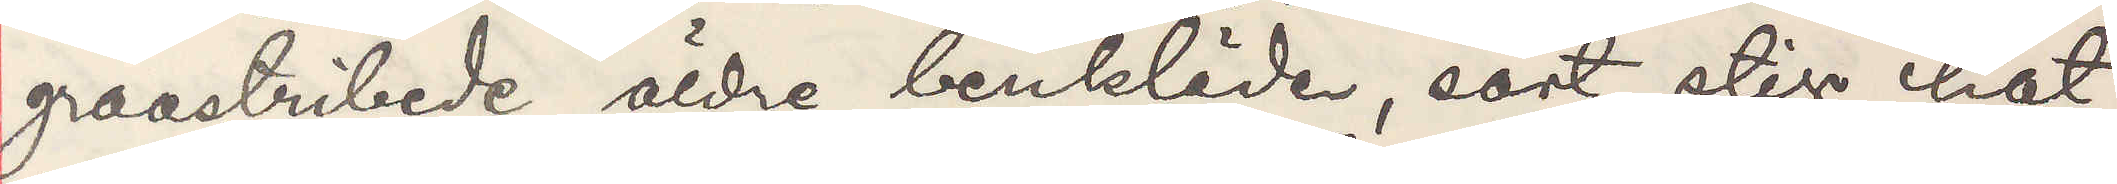graastribede äldre benkläder, sort stiv hat
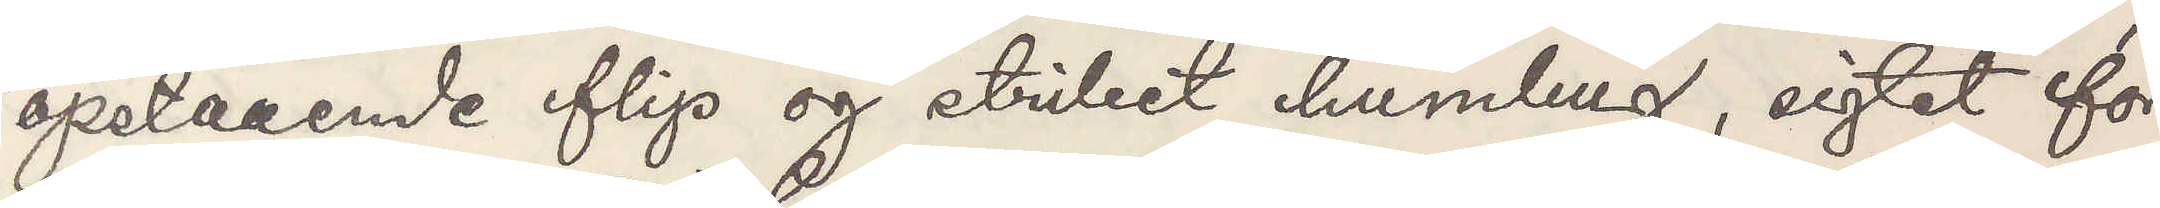opstaaende flip og stribet humbug, sigtet for
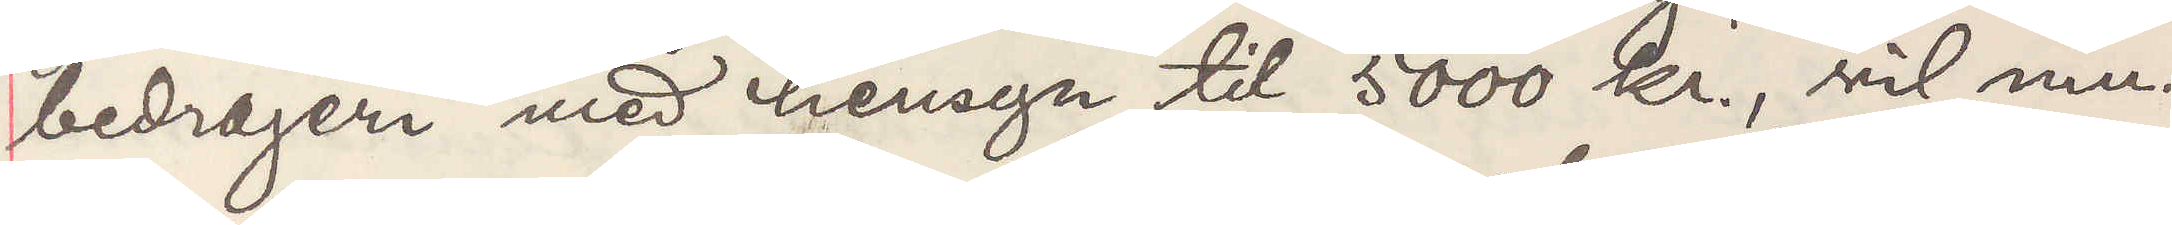bedrageri med hemsyn til 5000 kr., vil mu¬
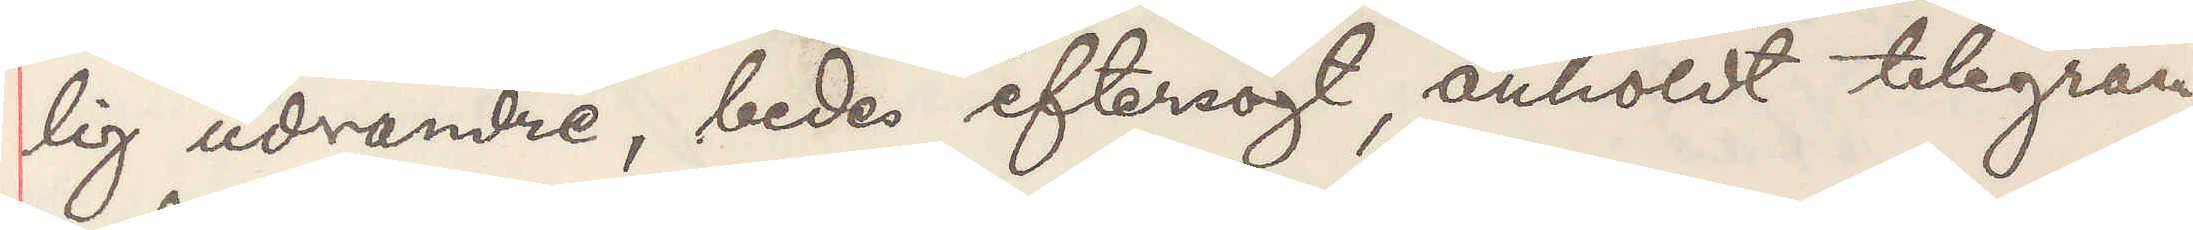lig udvandre, bedes eftersögt, anholdt telegram¬
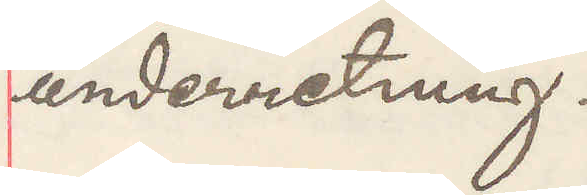underretning.
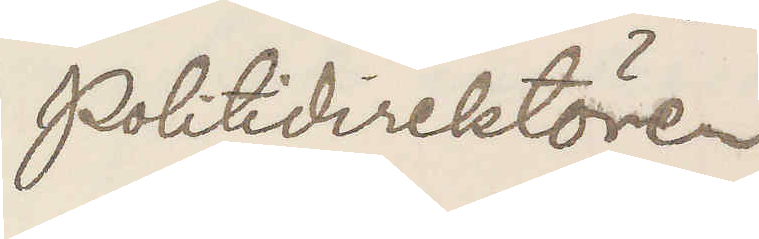Politidirektören
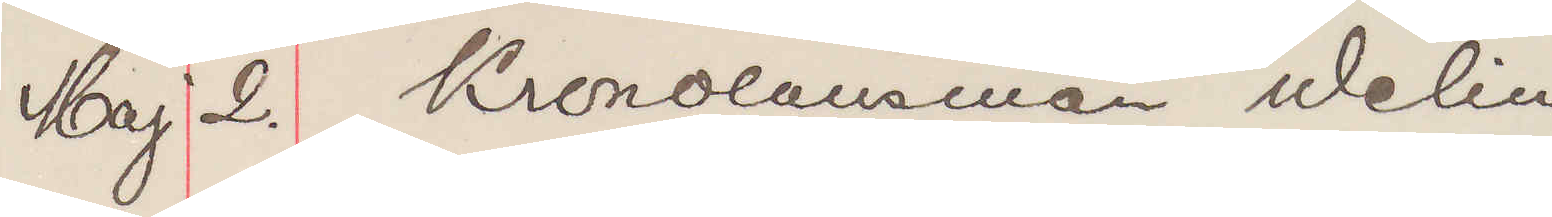Maj 2. Kronolänsman Welin
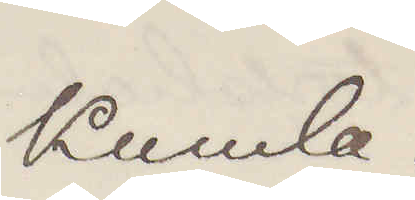Kumla.
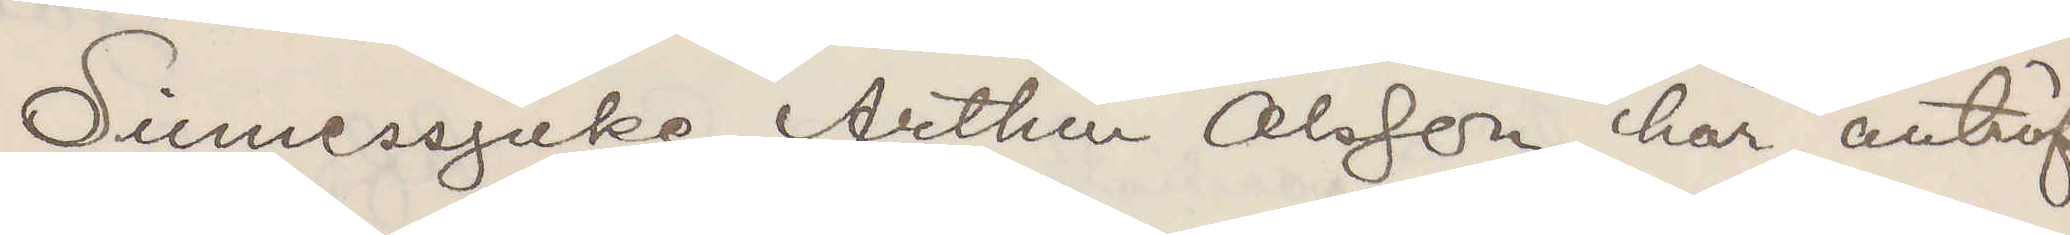Sinnessjuke Arthur Olsson här anträf¬
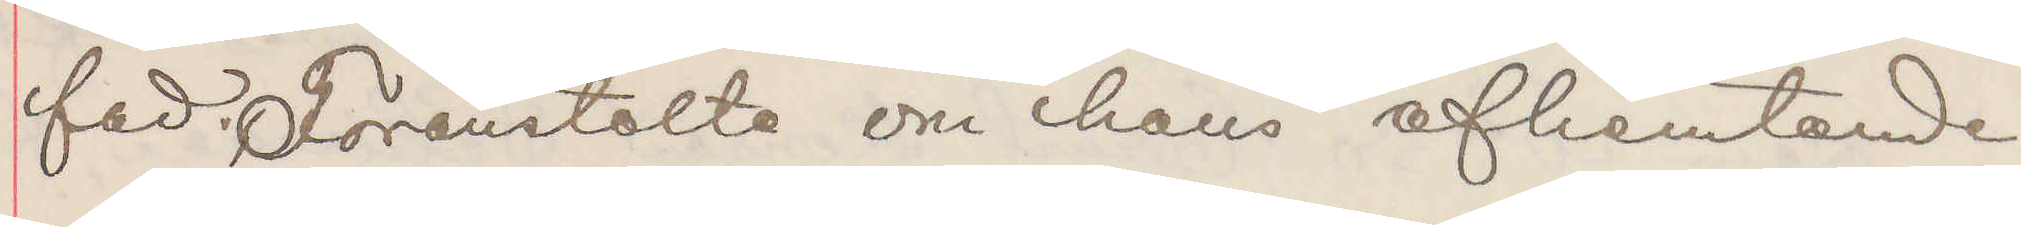fad. Föranstalta om hans afhemtande
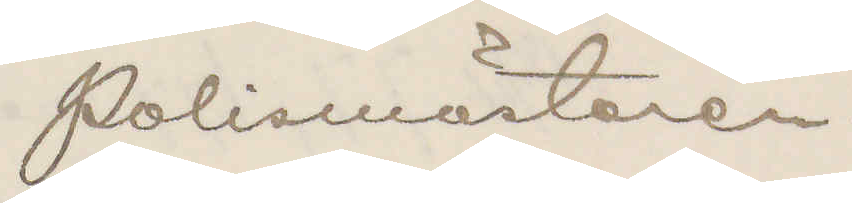Polismästaren.
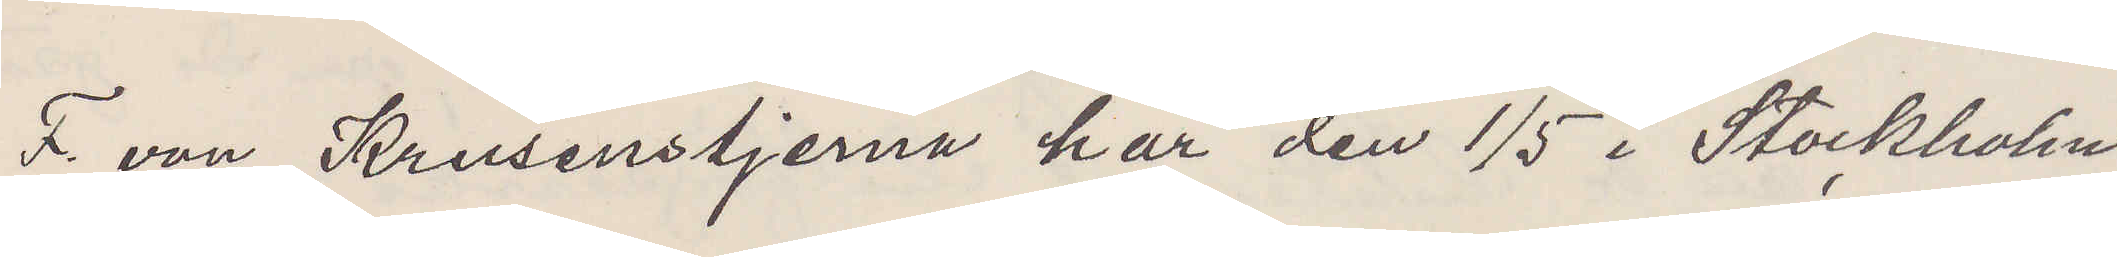F. von Krusenstjerna har den 1/5 i Stockholm
